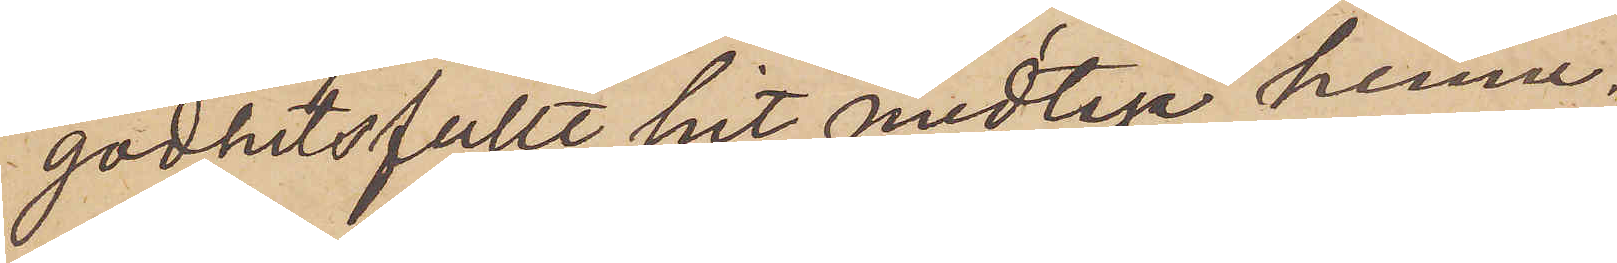godhetsfullt hit medtaga henne.
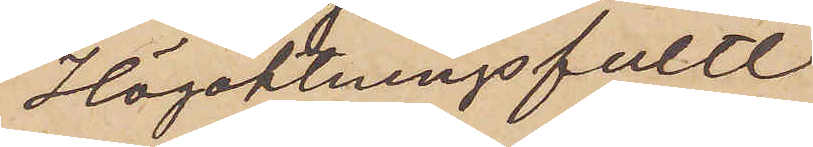Högaktningsfullt
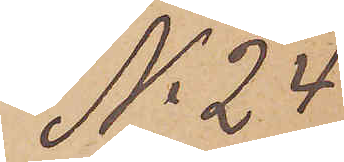No 24
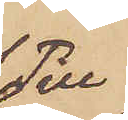Till
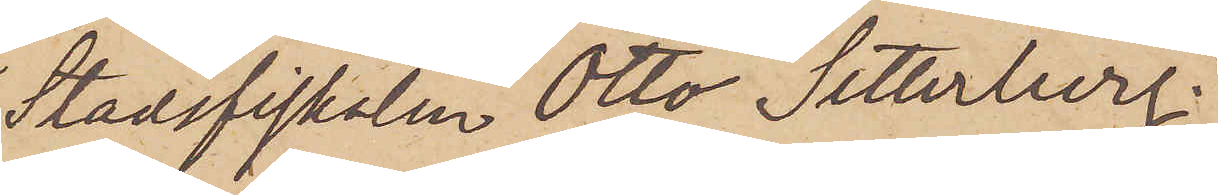Stadsfiskalen Otto Setterberg.
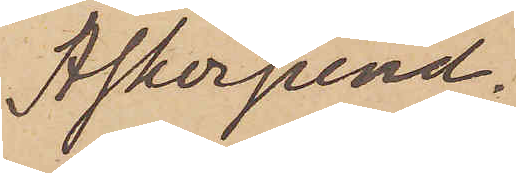Askersund.
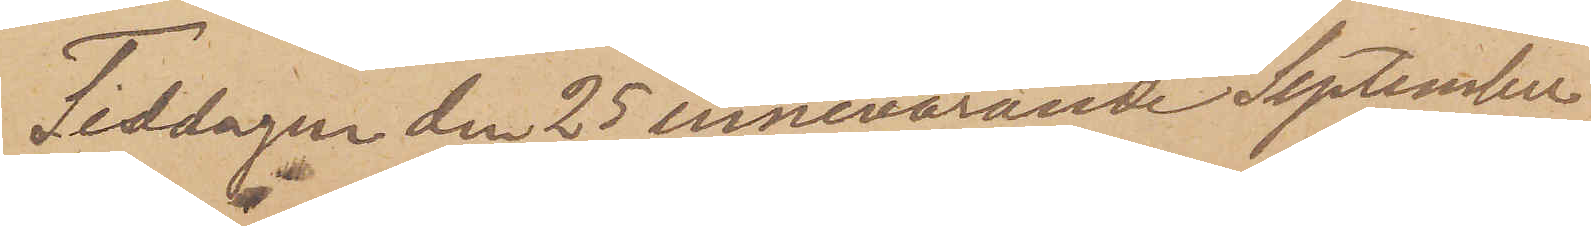Tisdagen den 25 innevarande September
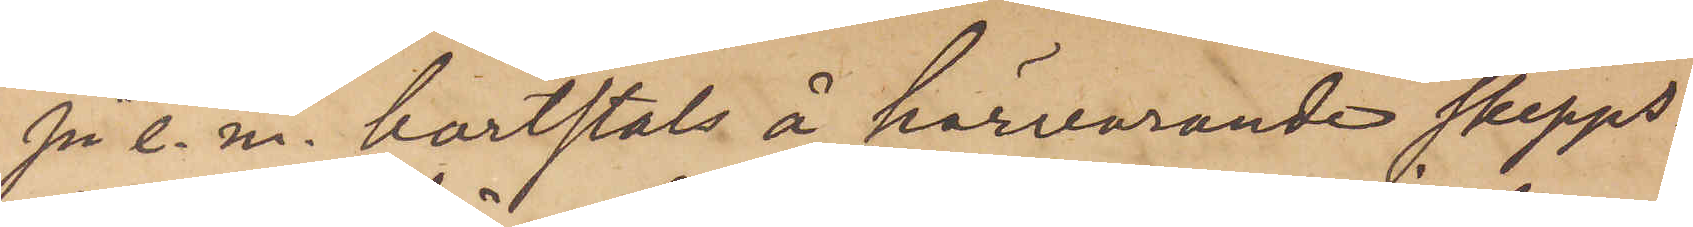på e. m. bortstals å härvarande skepps¬
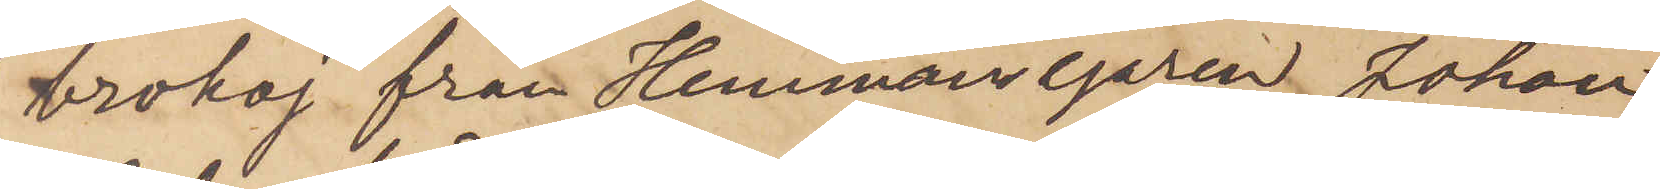brokaj från Hemmansegaren Johan
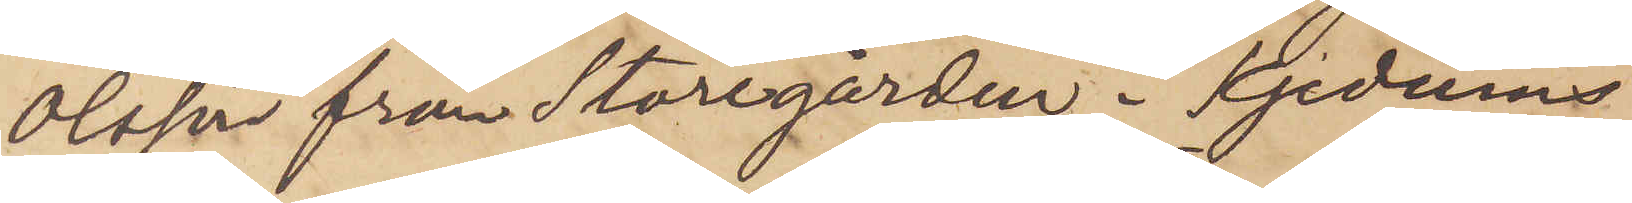Olsson från Storegården i Kjedums
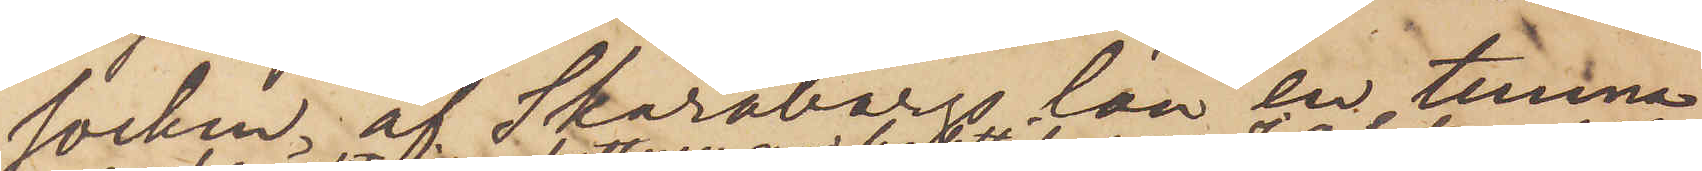socken af Skaraborgs län en tunna
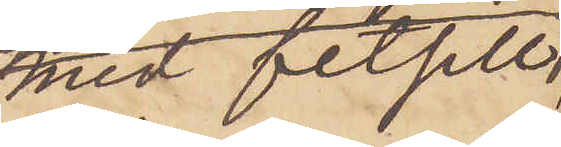med fetsill,
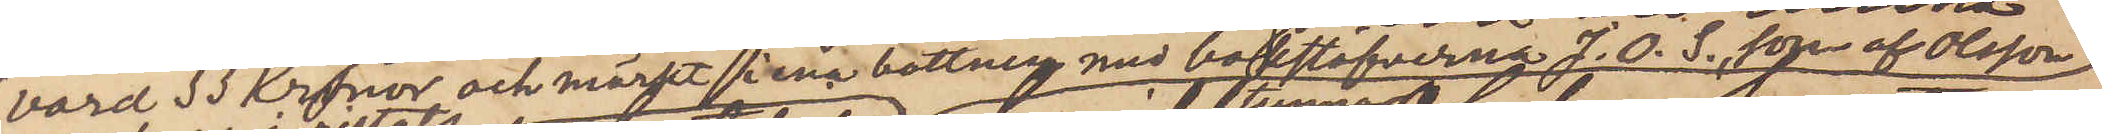värd 33 Kronor och märkt i sin bottning med bokstafverna J. O. S. som af Olsson
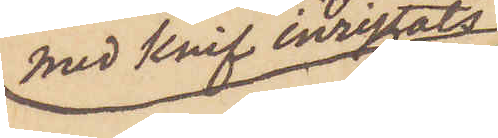med knif inristats,
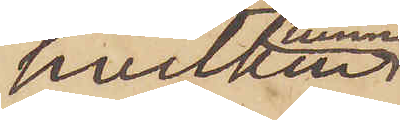hvilken
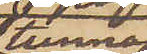tunna
